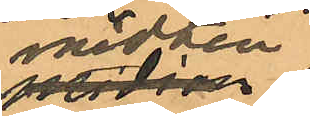mitten
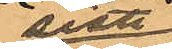sistl
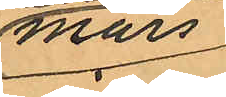Mars
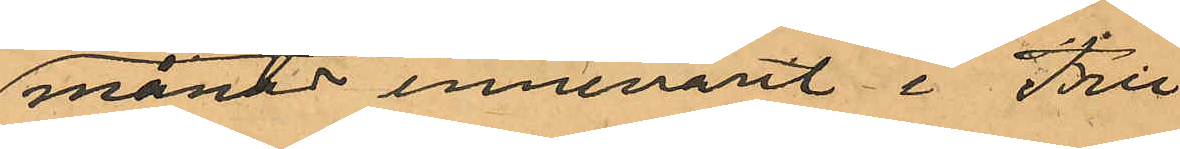månad innevarit i Fru
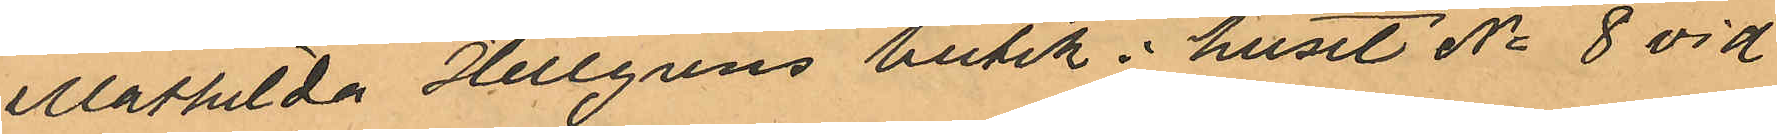Mathilda Hellgrens butik i huset No 8 vid
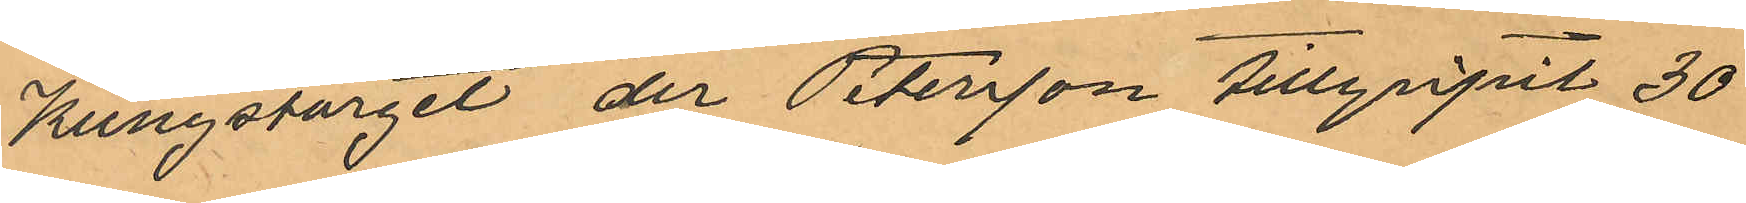Kungstorget der Petersson tillgripit 30
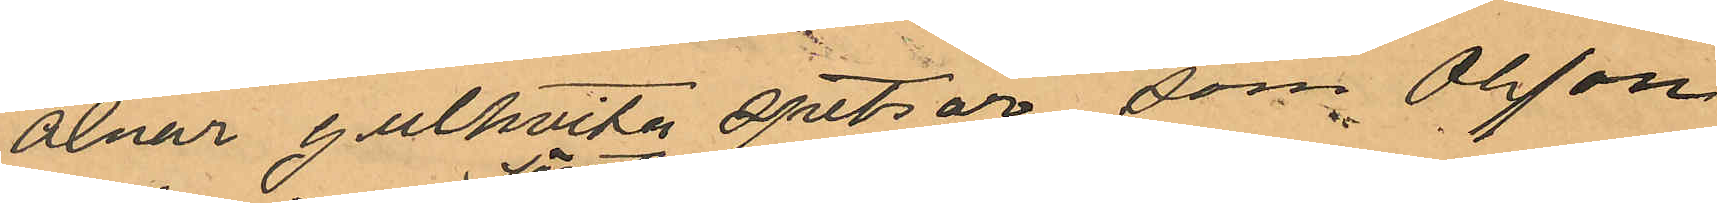alnar gulhvita spetsar som Olsson
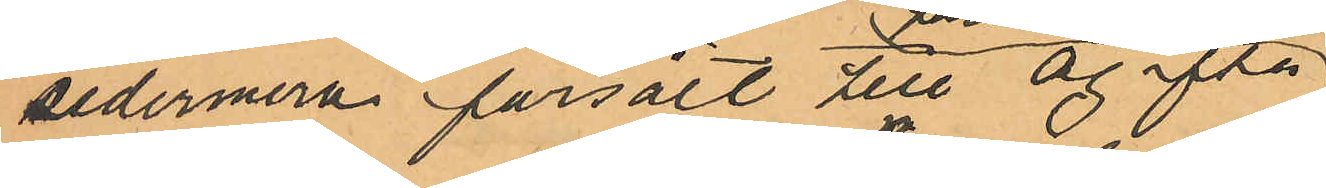sedermera försålt till Ogifta
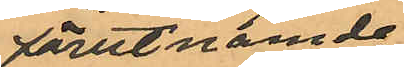förutnämda
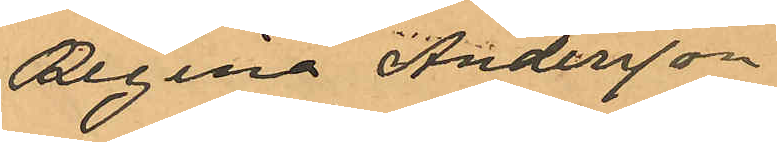Regina Andersson
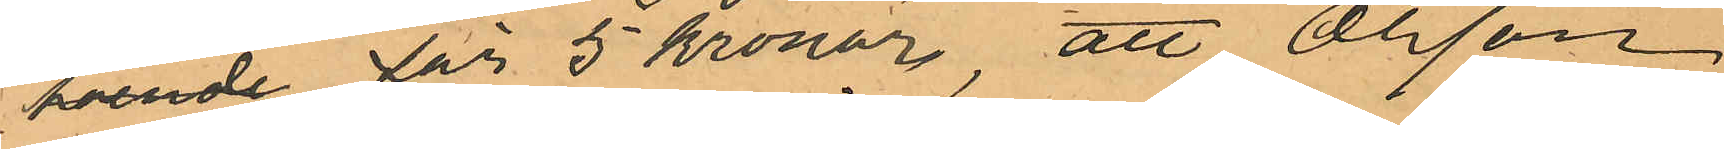boende för 5 kronor, att Olsson
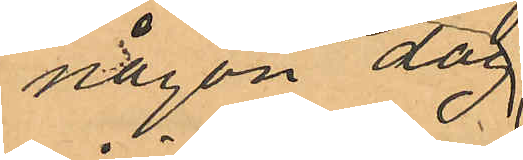någon dag
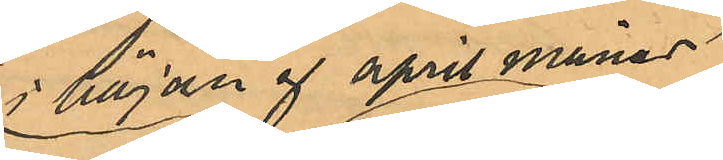i början af april månad
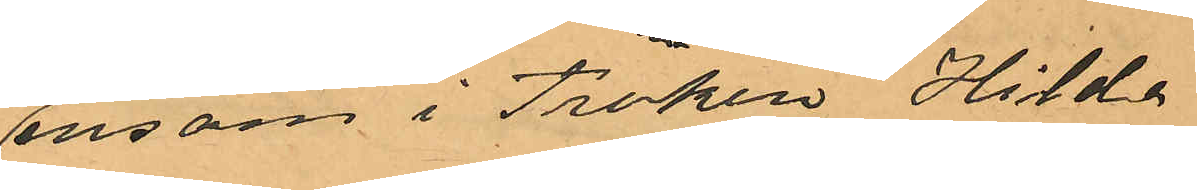ensam i Fröken Hilda
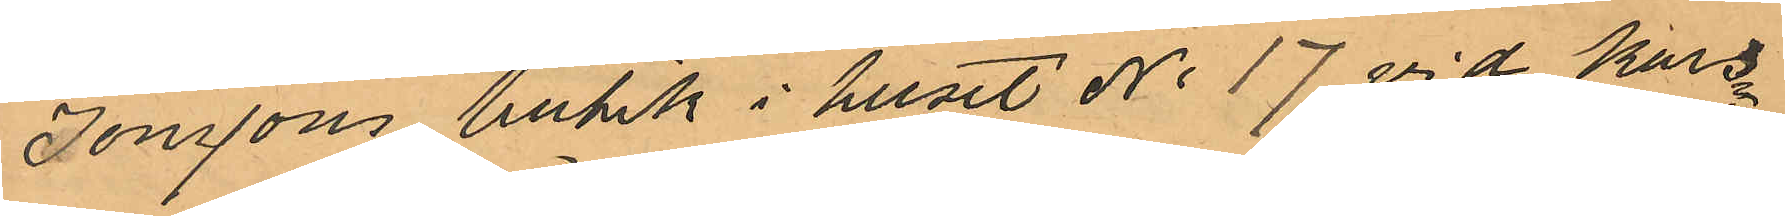Jonssons butik i huset No 17 vid Kors¬
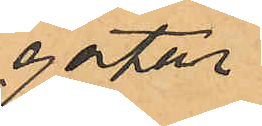gatan
